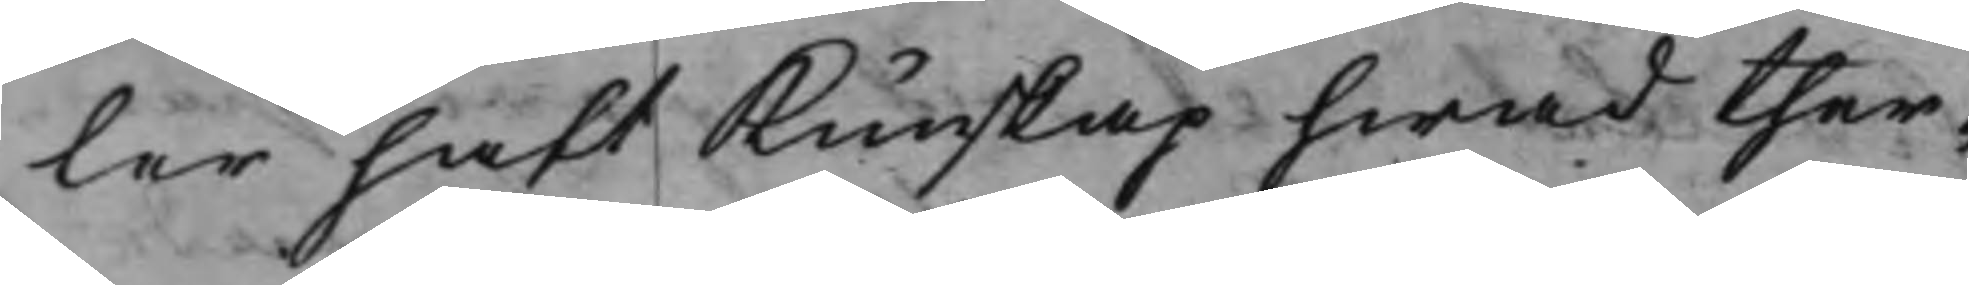ler haft Kunskap hwad ther¬
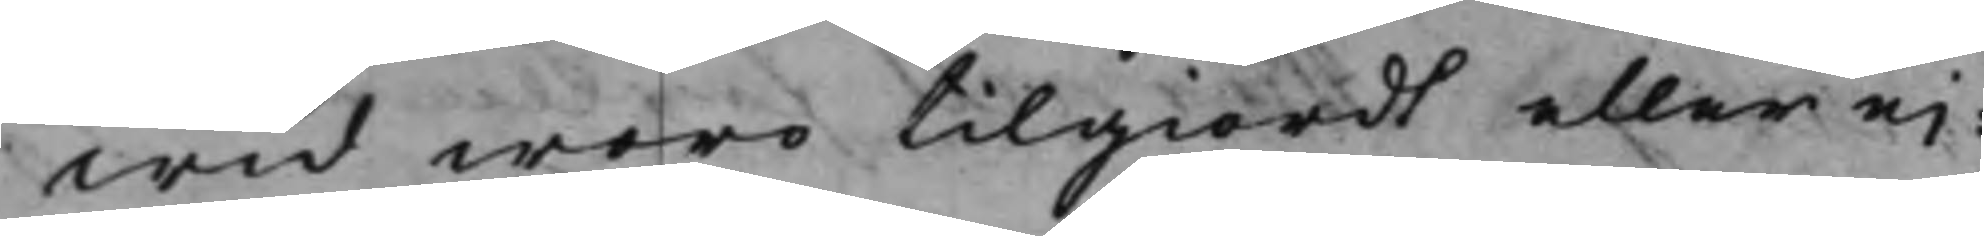wid woro tilgiordt eller ei:
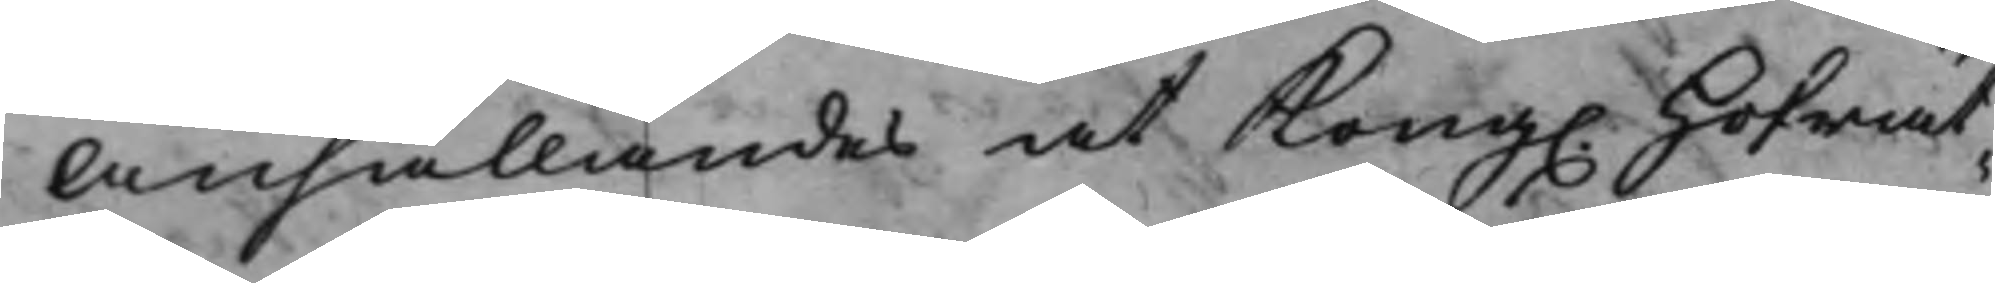Anhållandes at Kong. Hofrät¬
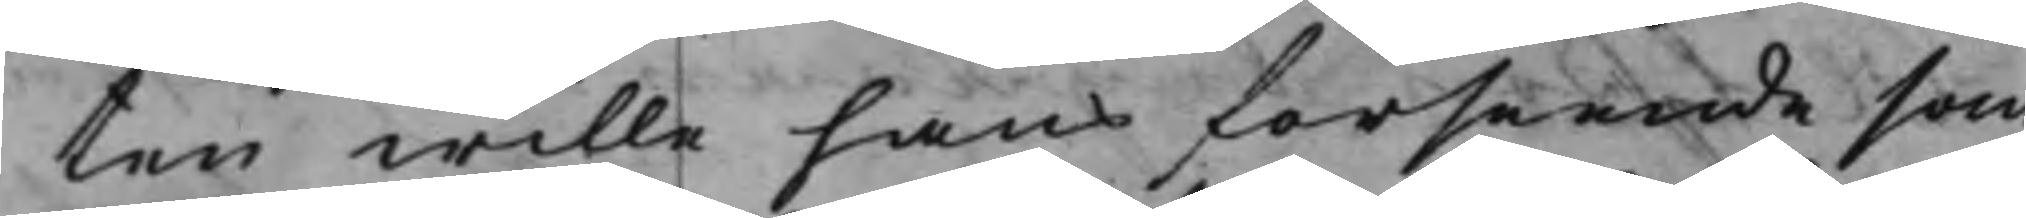ten wille hans förseende som
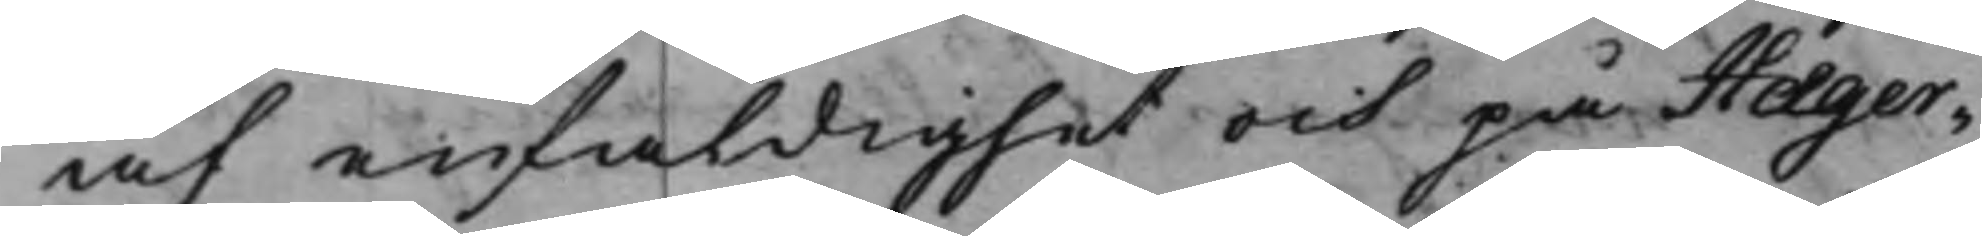af enfaldighet och på Hæger¬
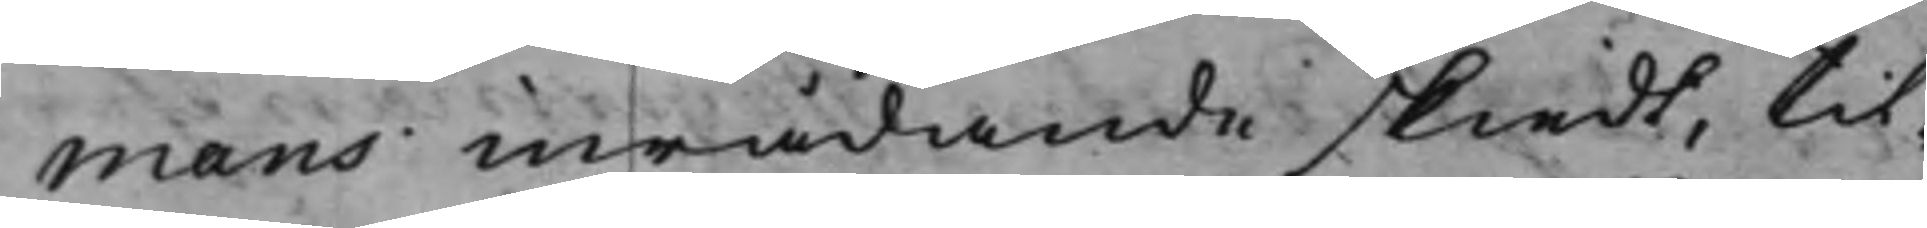mans inrådande skiedt, til¬
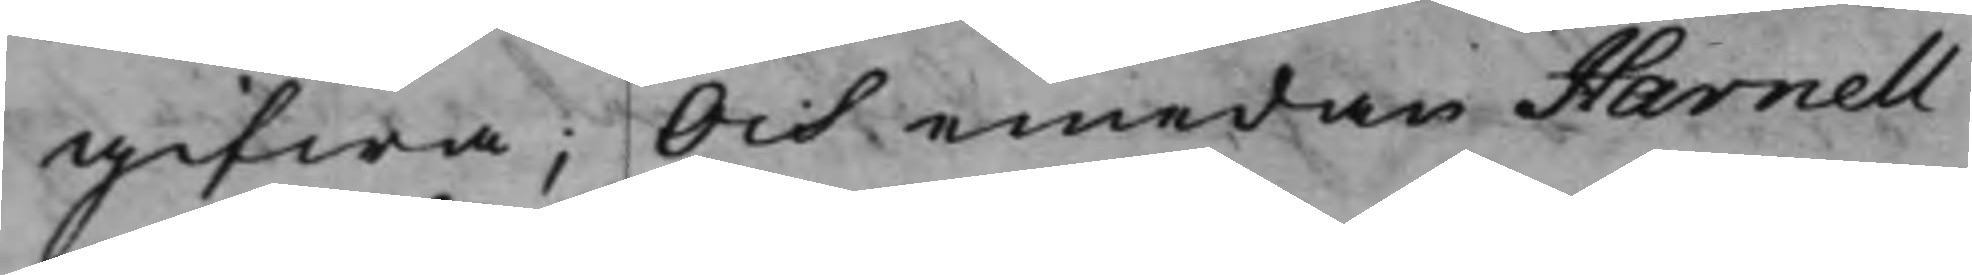gifwa; Och emedan Harnell
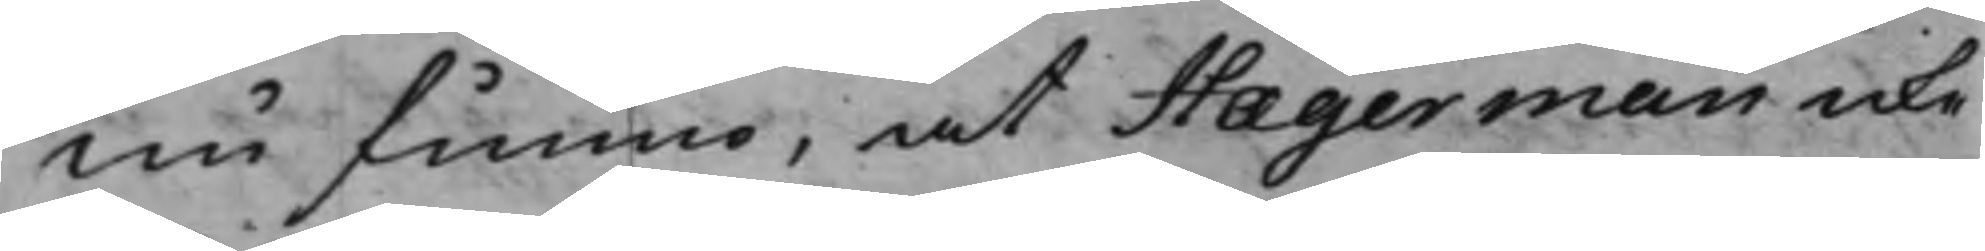nu funno, at Hægerman icke
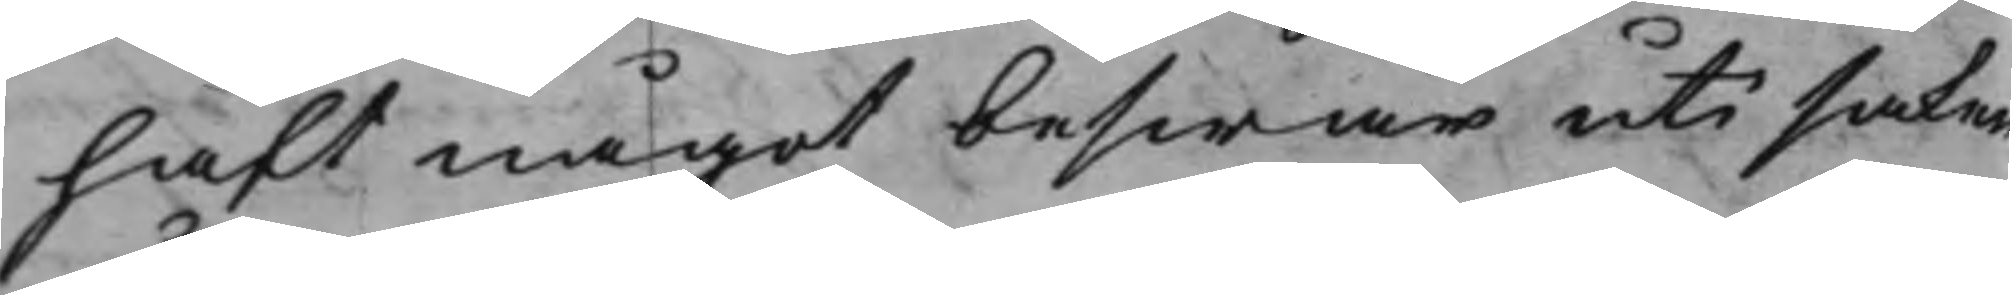haft något beswär uti saken
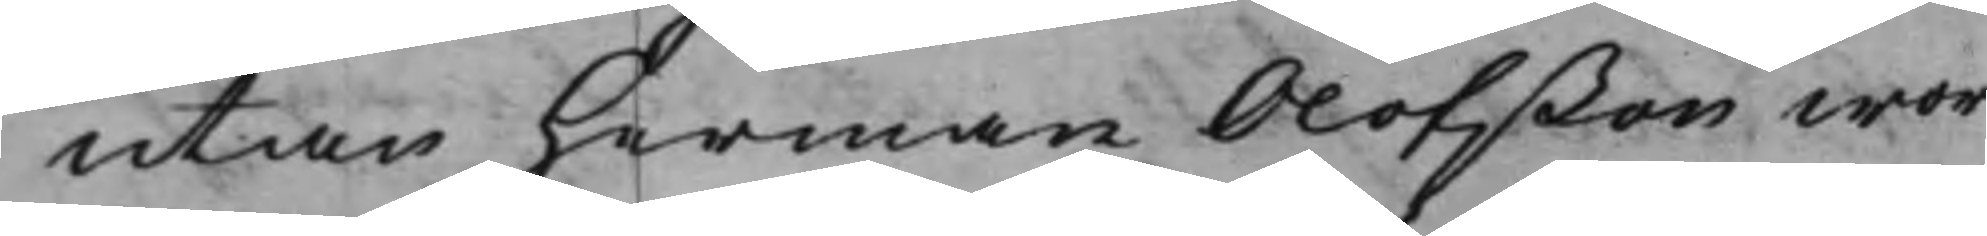utan Herman Olofßon woro
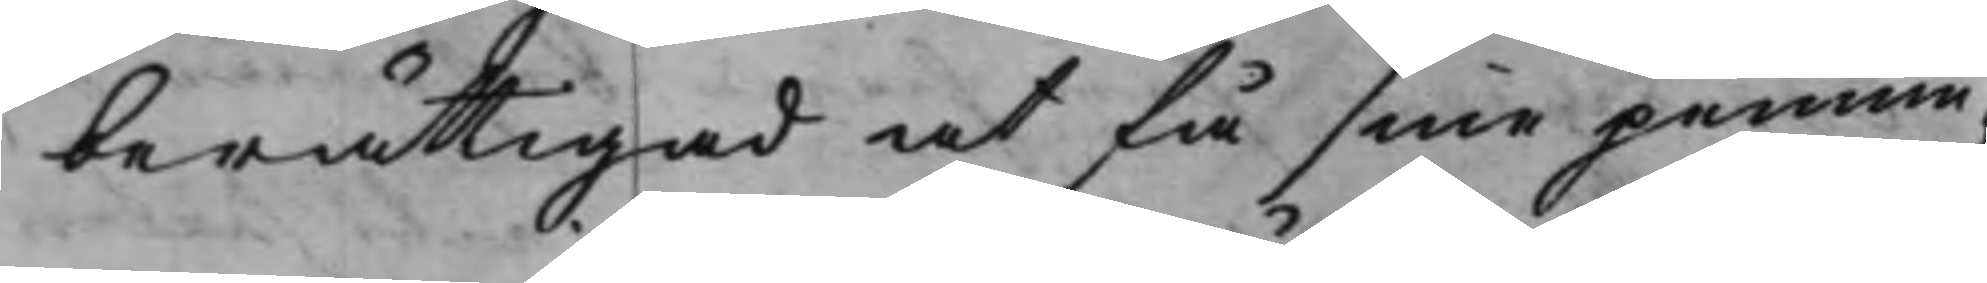berättigad at få sine pennin¬
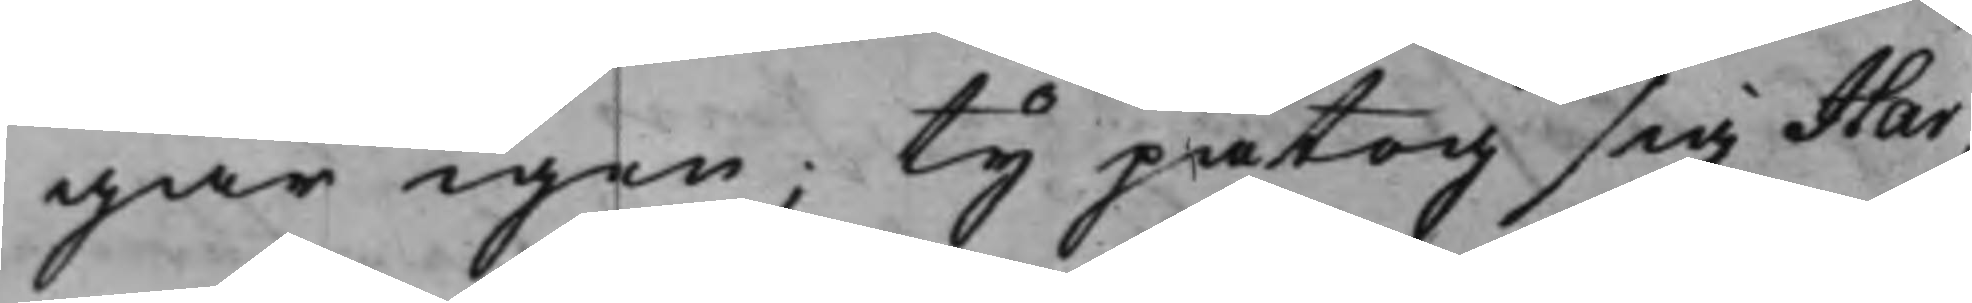gar igen; Ty påtog sig Har¬
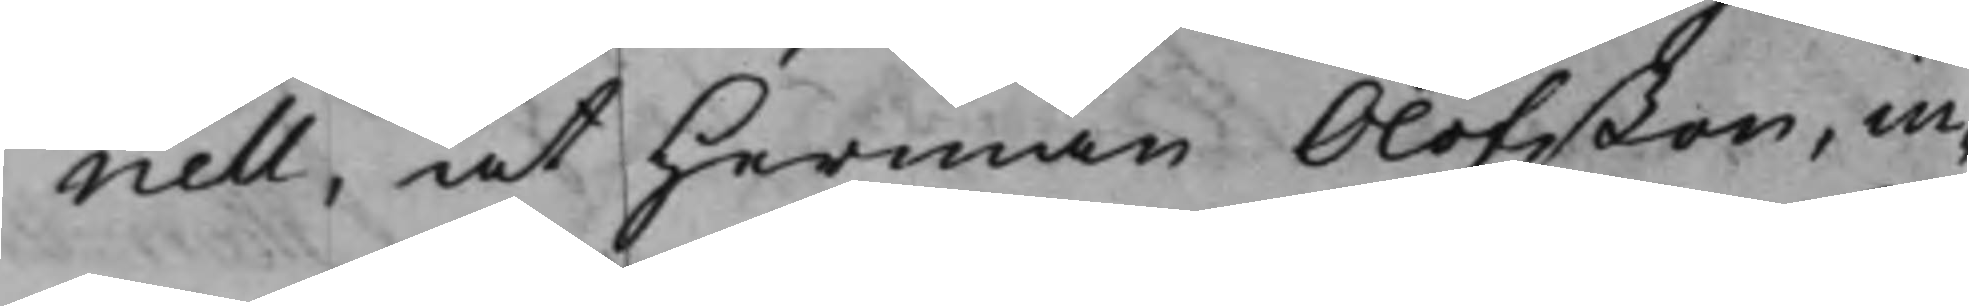nell, at Herman Olofßon, in¬
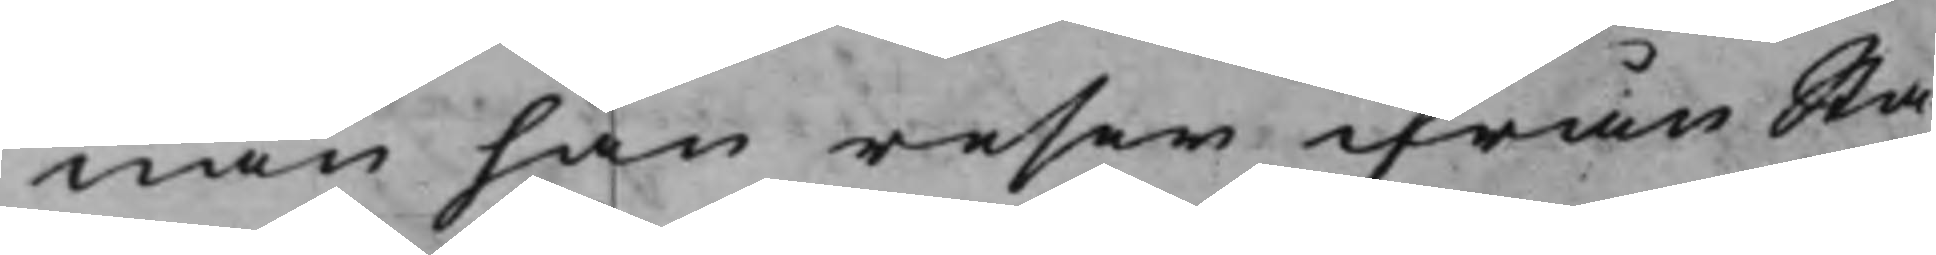nan han reser ifrån Sta¬
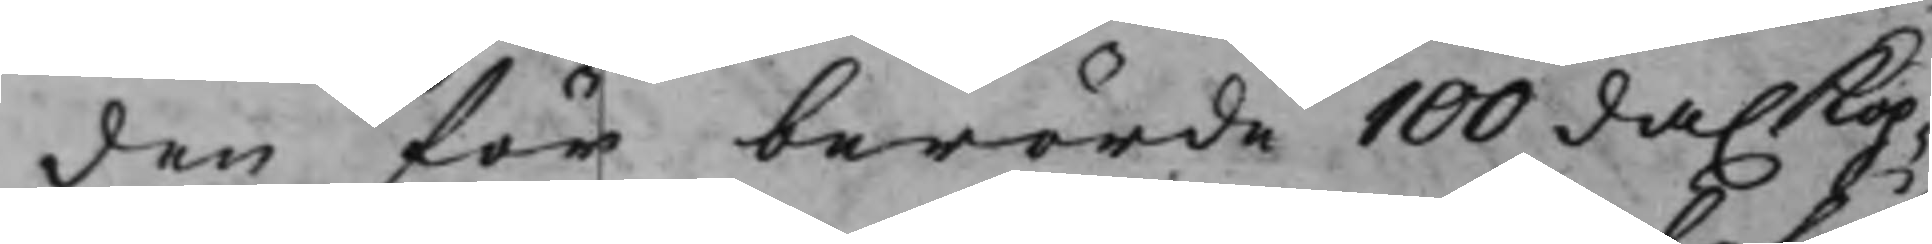den för berörde 100 da. Kop¬
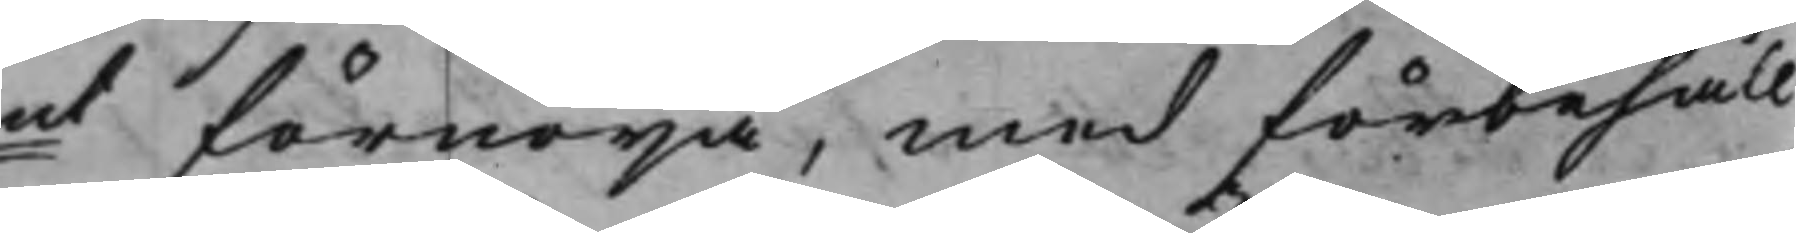pmt förnöija, med förbehåll
